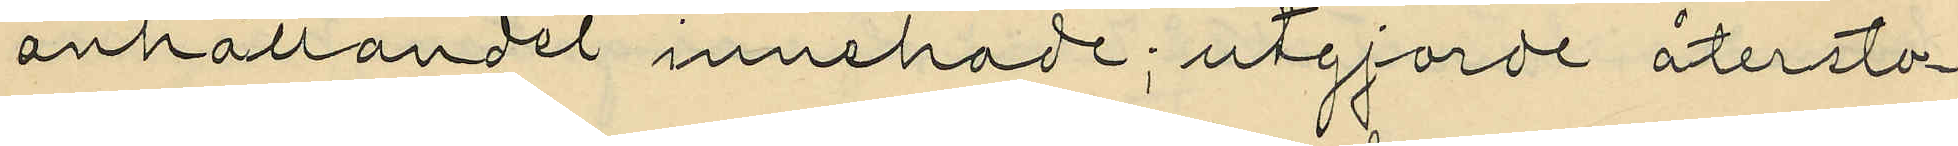anhållandet innehade; utgforde återsto¬
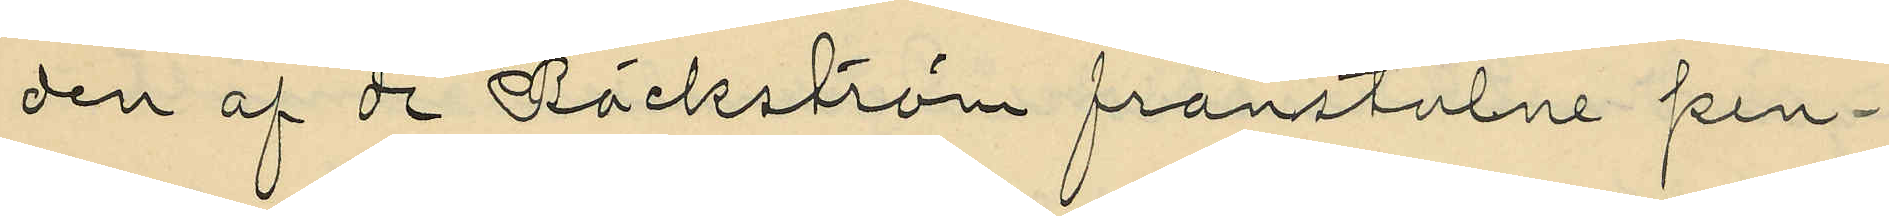den af de Bäckström frånstulne pen¬
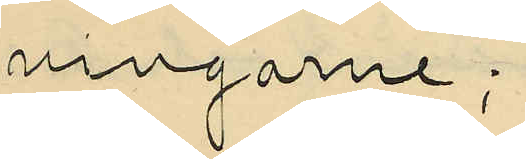ningarne;
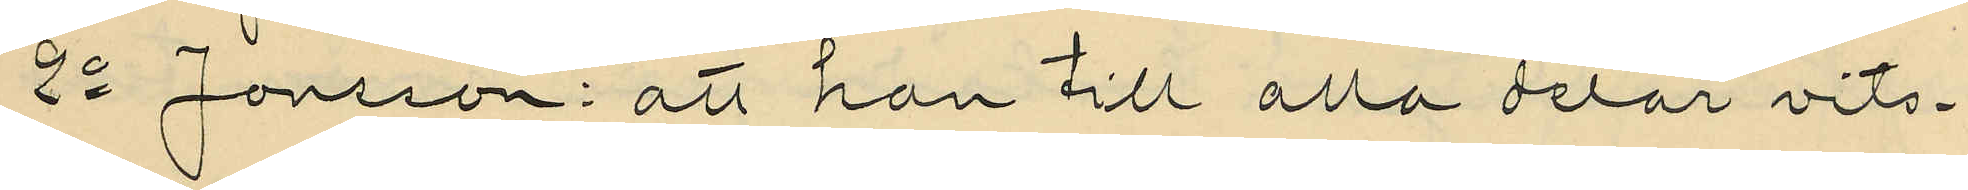2o Jonsson: att han till alla delar vits¬
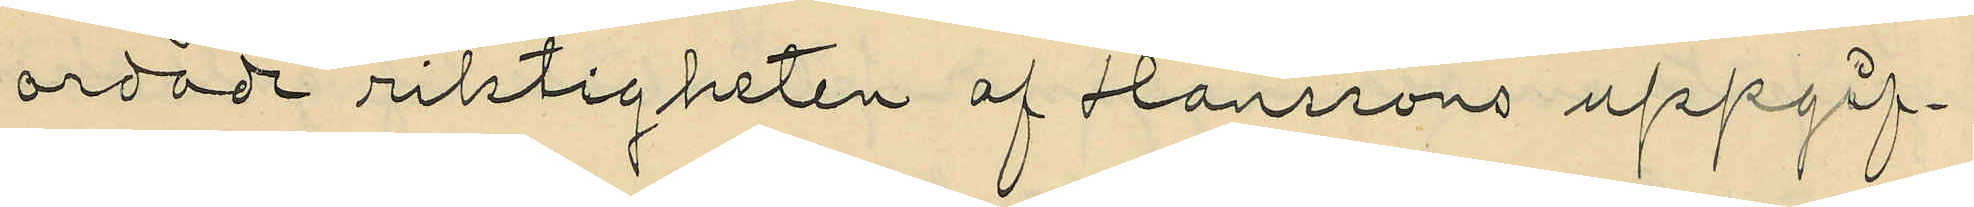ordade riktigheten af Hanssons uppgif¬
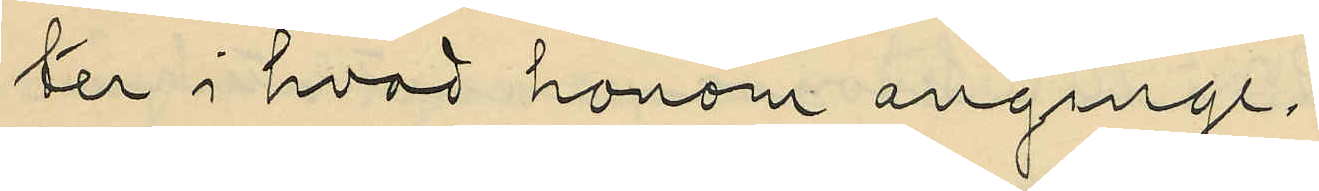ter i hvad honom anginge.
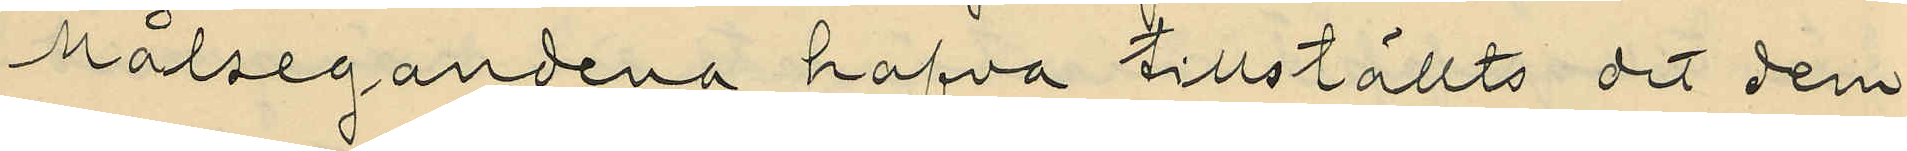Målsegandena hafva tillställts det dem
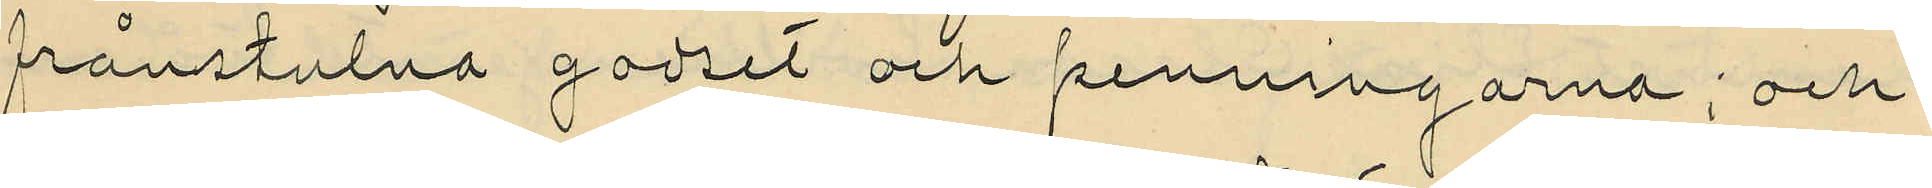frånstulna godset och penningarna; och
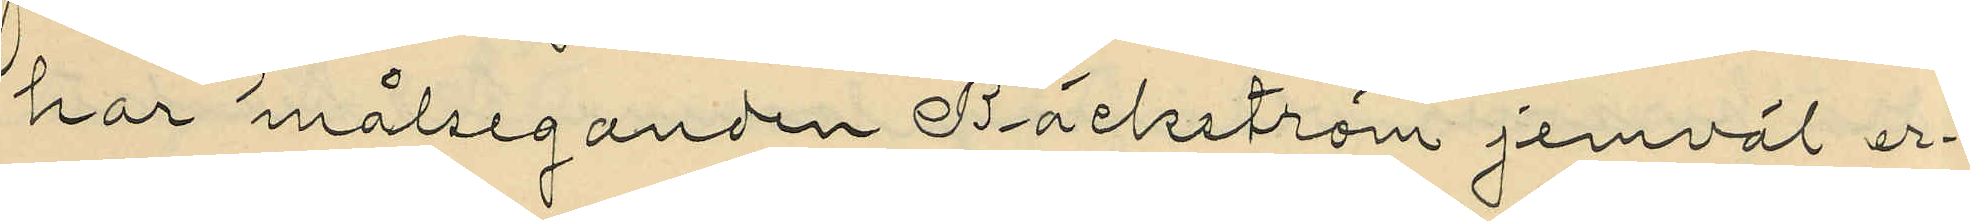har målseganden Bäckström jemväl er¬
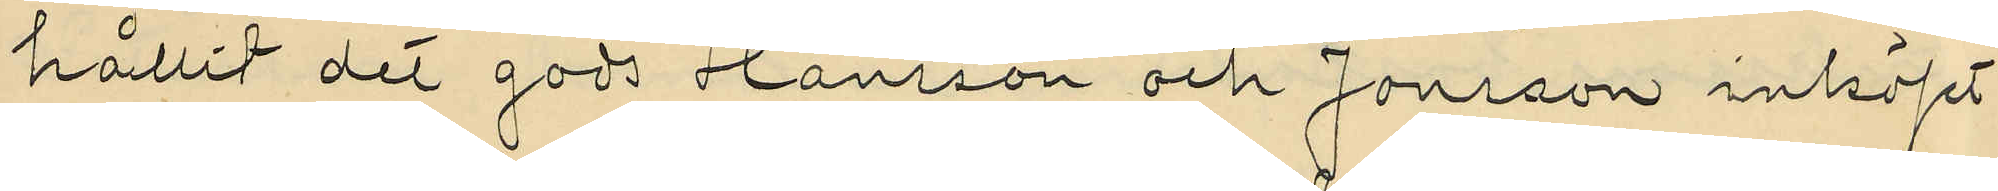hållit det gods Hansson och Jonsson inköpt
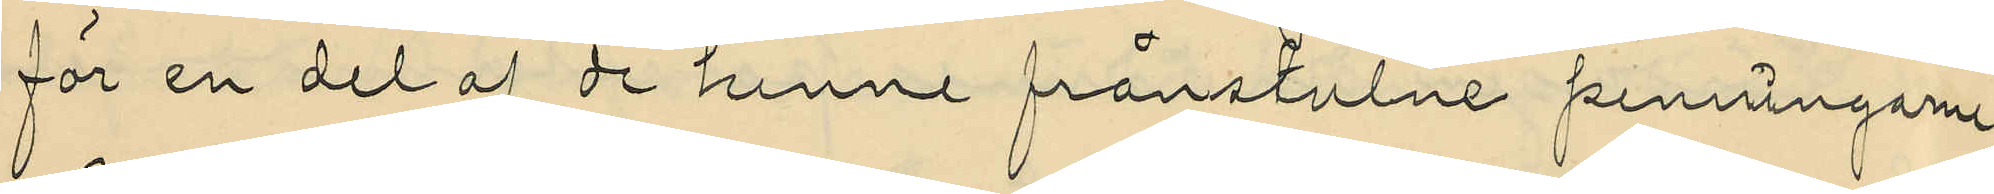för en del af de henne frånstulne penningarne.
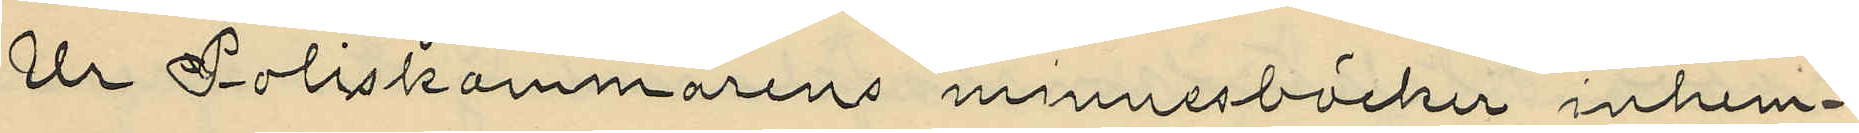Ur Poliskammarens minnesböcker inhem¬
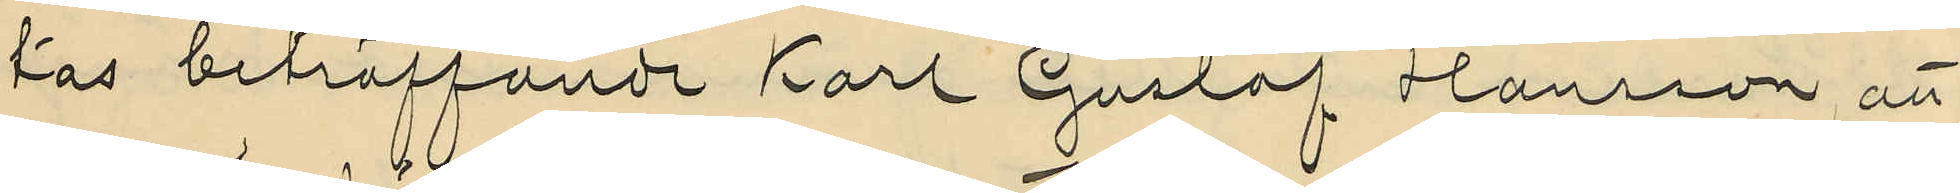tas beträffande Karl Gustaf Hansson, att
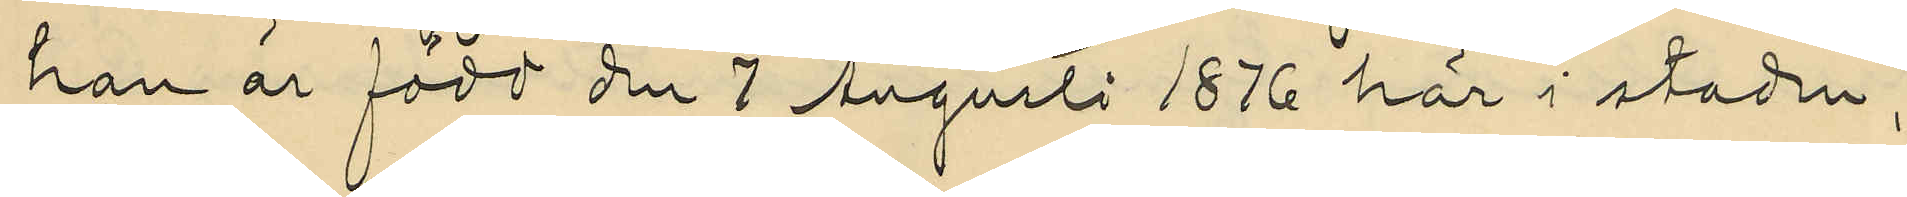han är född den 7 Auguti 1876 här i staden,
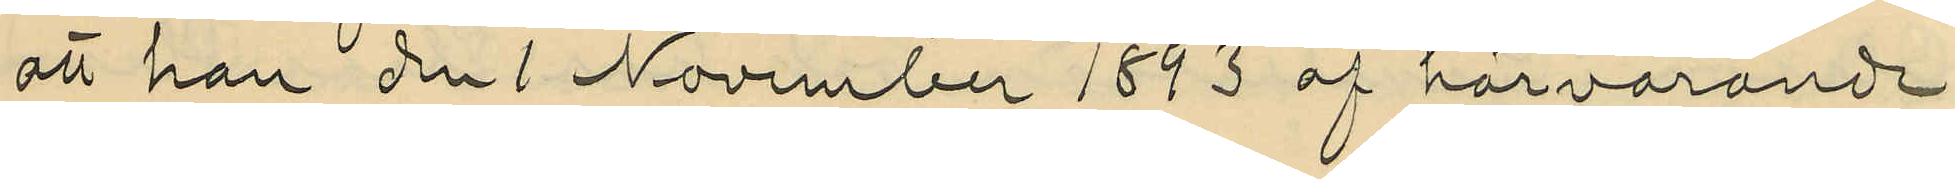att han den 1 November 1893 af härvarande
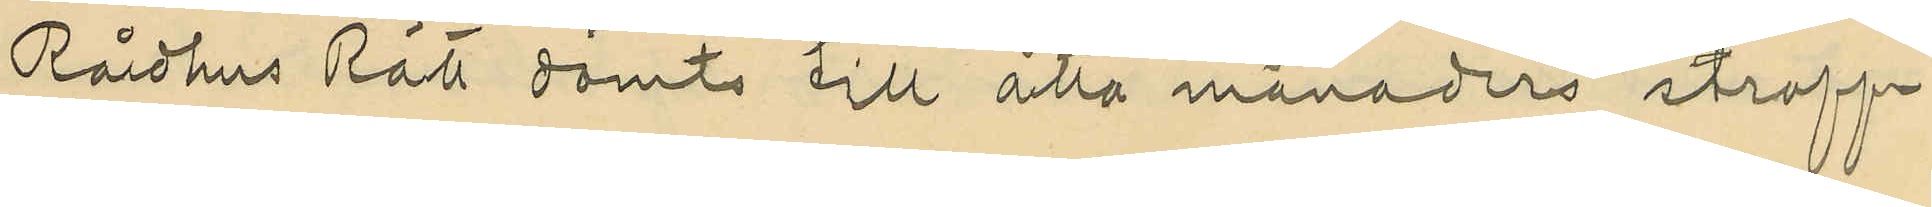Rådhus Rätt dömts till åtta månaders straff¬
